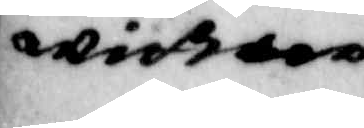wittne
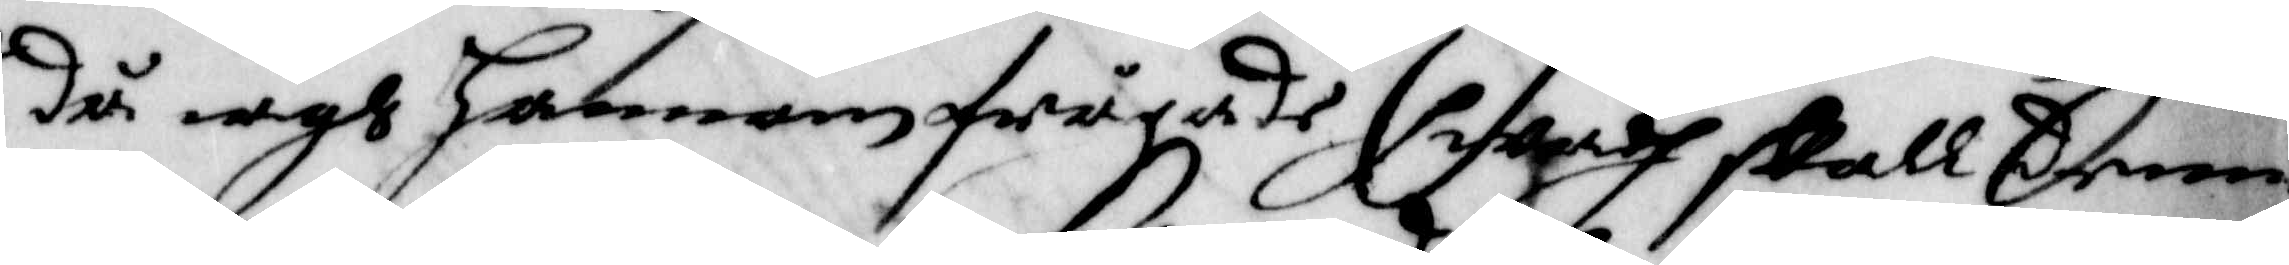då iagh honnom frågade hwadh skall denne
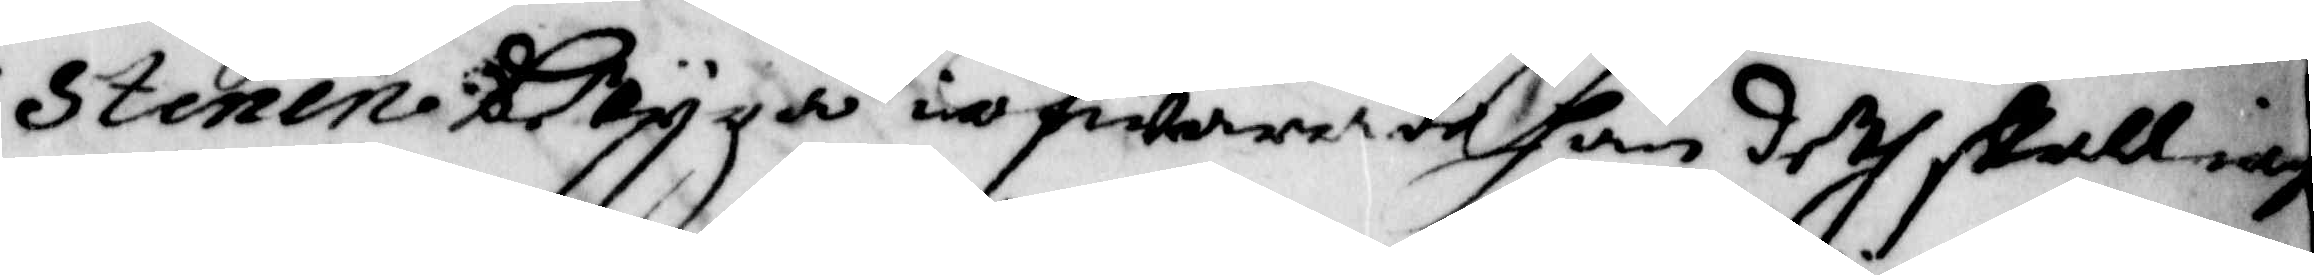Stenen betijga ia swarade han deth skall iag
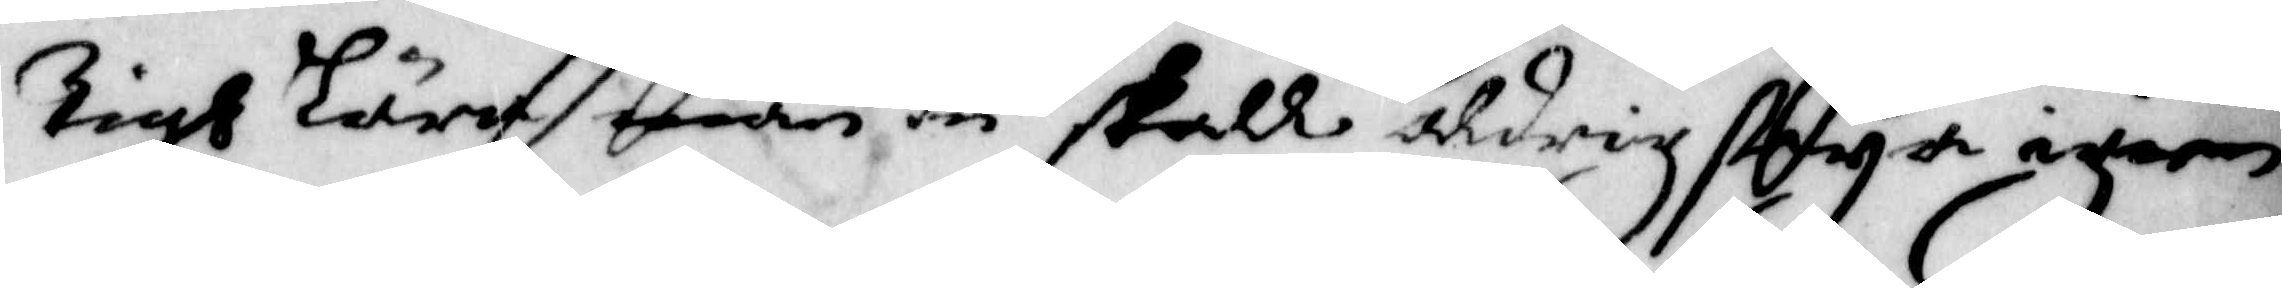tigh Lära men du skall aldrig seya igien
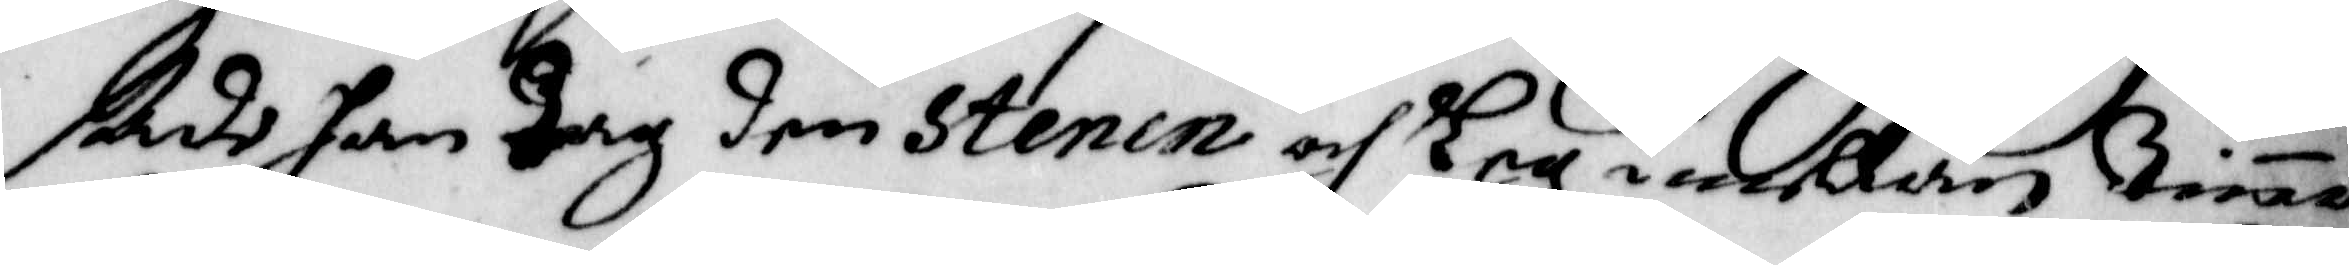sade han tag den Stenen och Leg imellan tinna
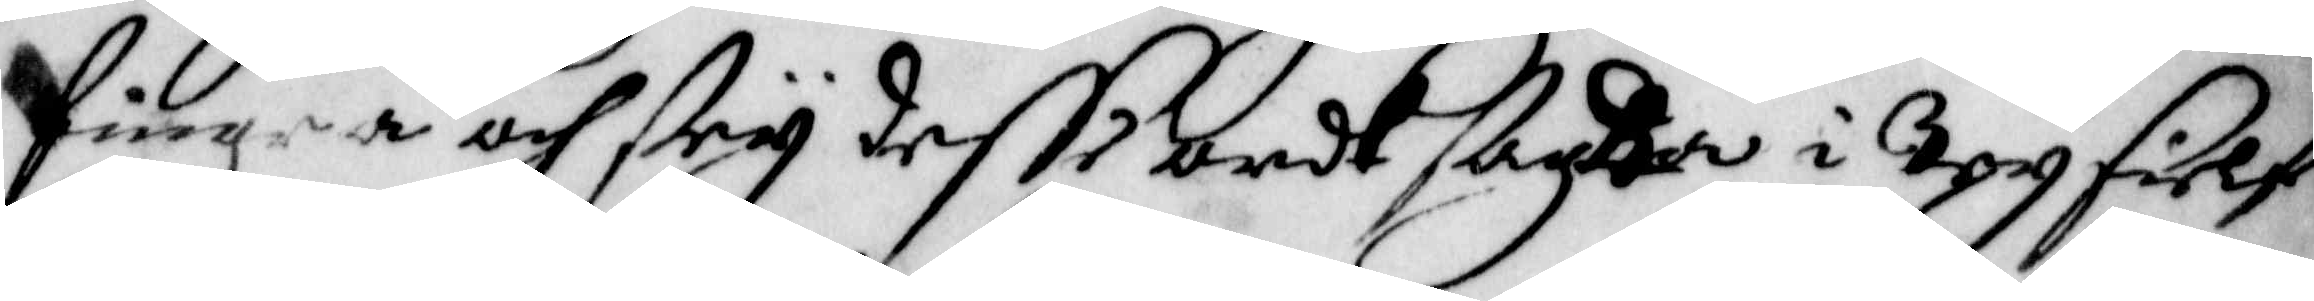fingra och sey desse ordh sagda i try sielf
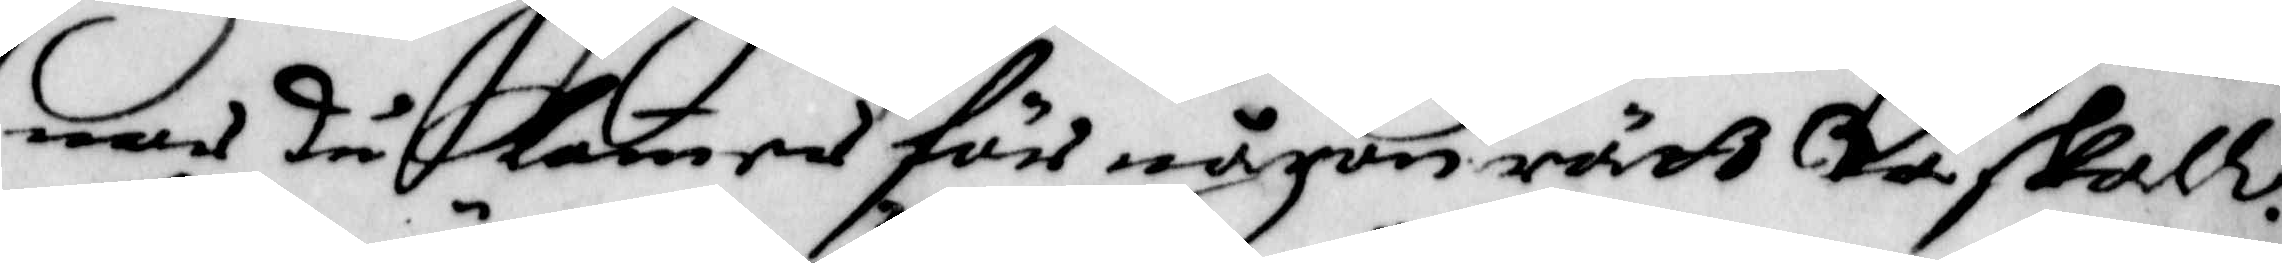nar du kommer för någon rätt tå skall
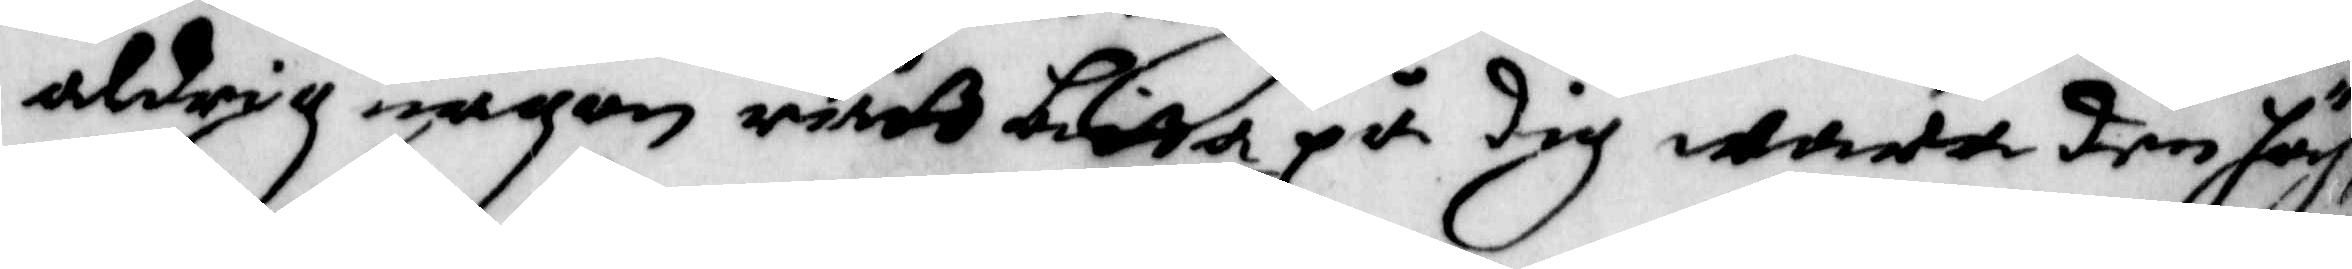aldrig någon rätt bitta på dig wara den hög
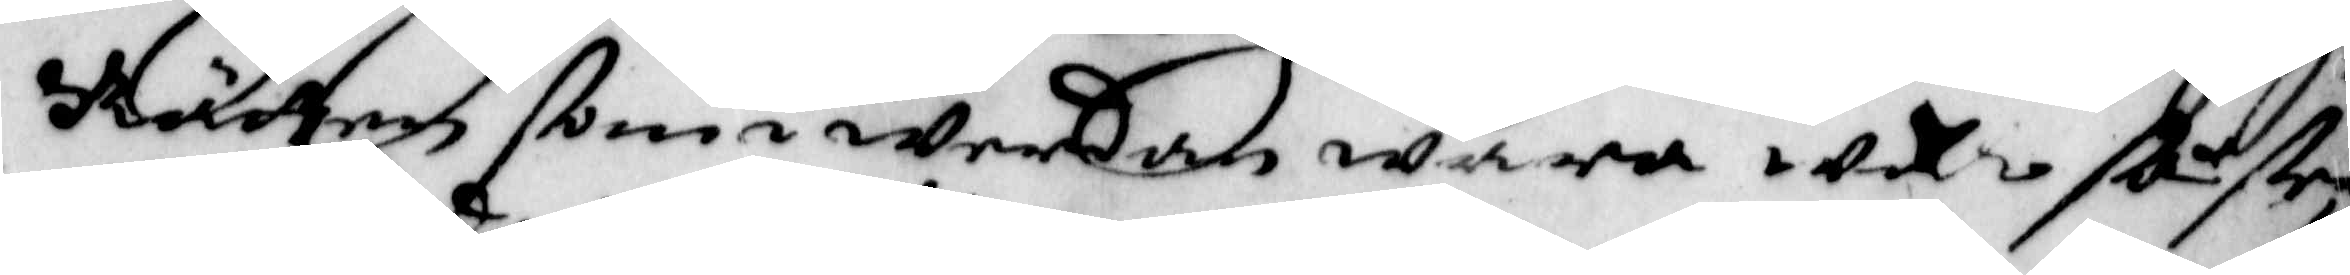Rätten som i Werdan wara wäl så sey
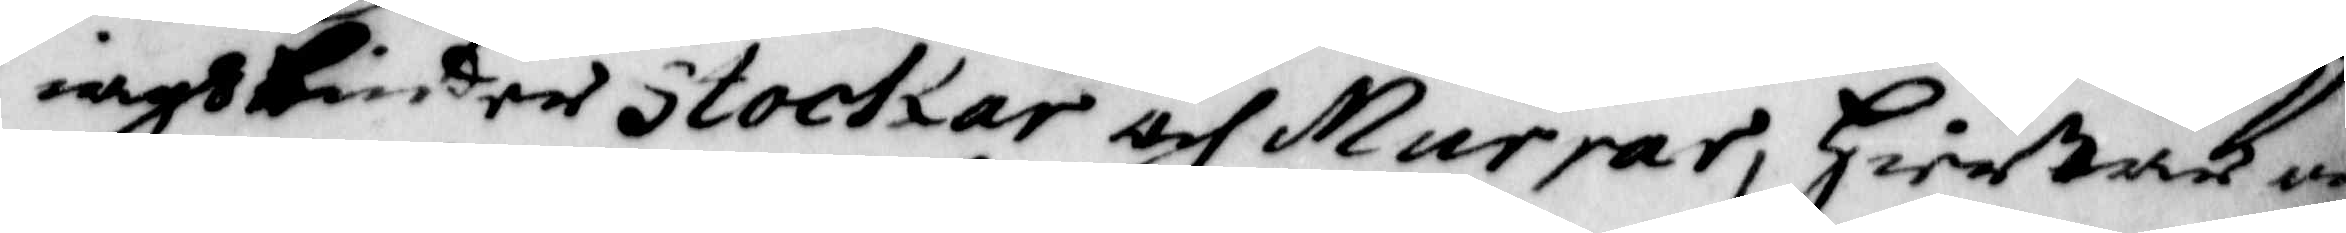iagh binder Stockar och Murrar, Hiertan o¬
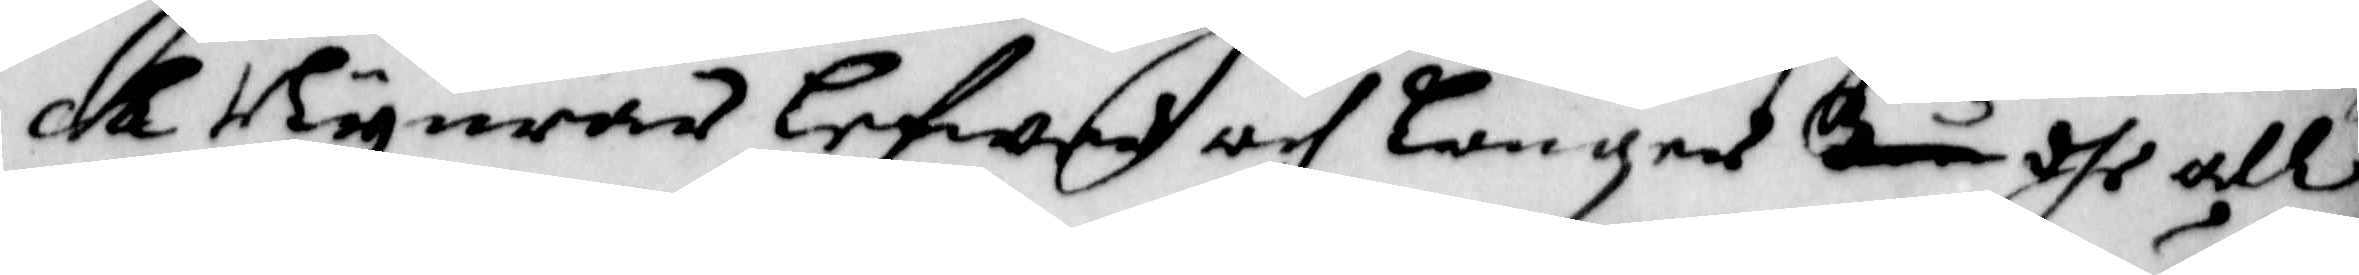ch Nyurar Lefwer och Lungor tå dhe all
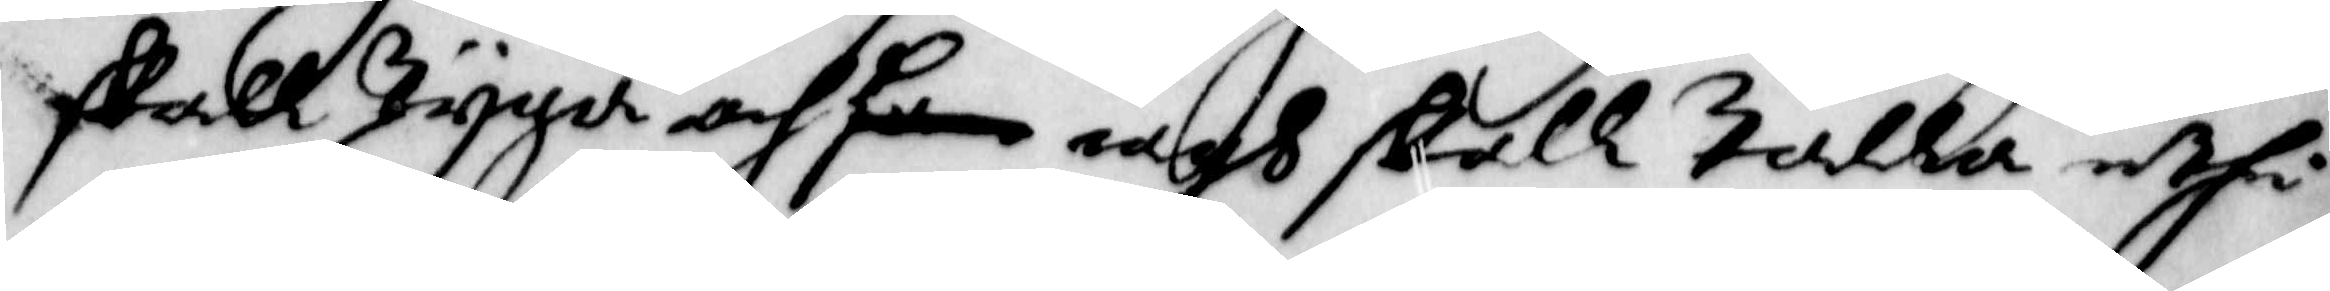skall tijga och han iagh skall talla uthi
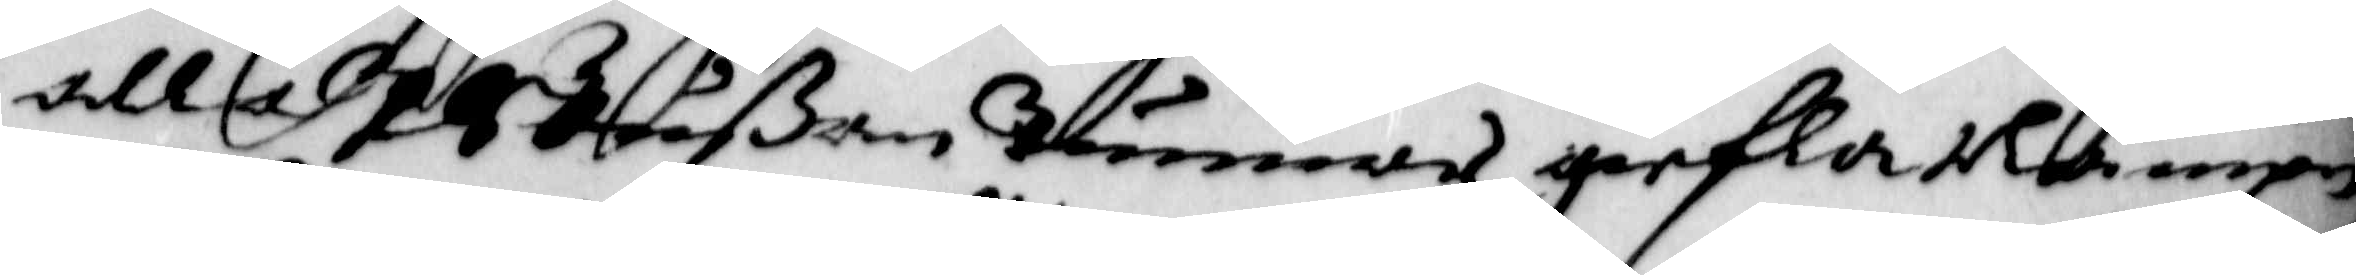alla 10 Tußen tunnor giefla Nampn,
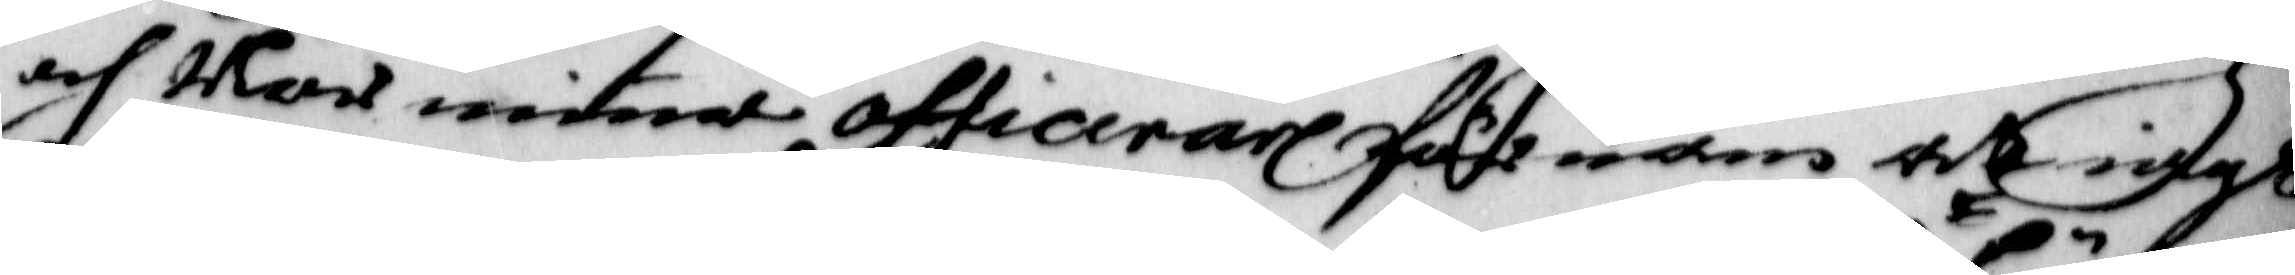och När minna Officerare förnam Att iagh
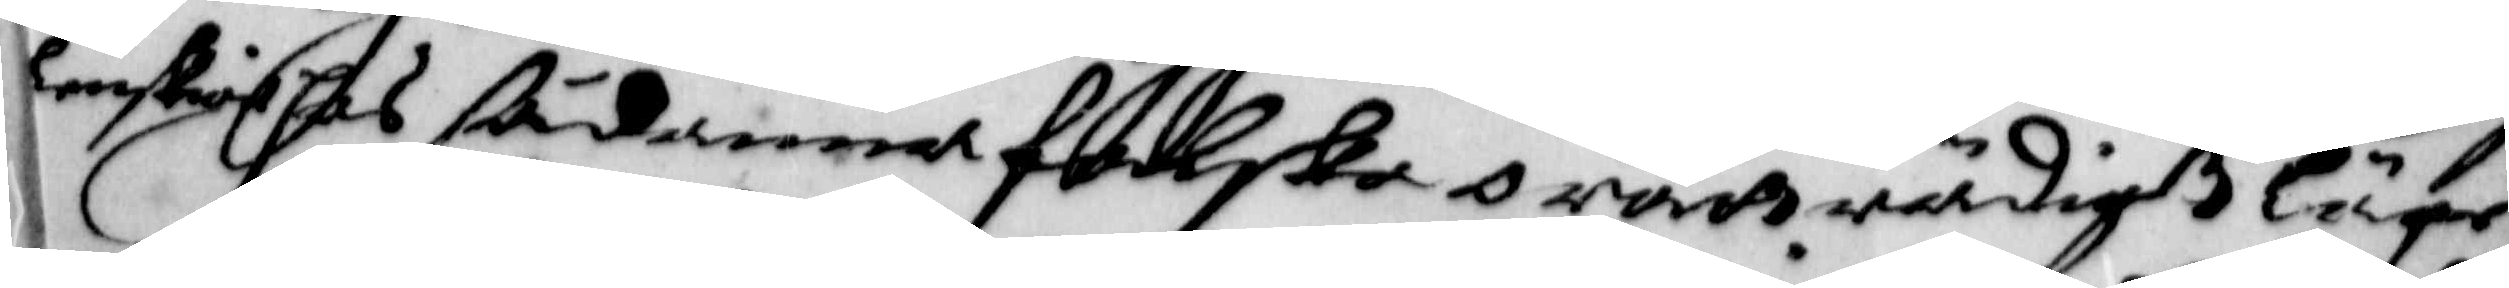lonskiat hos sådanna falske orättrådigt Läge
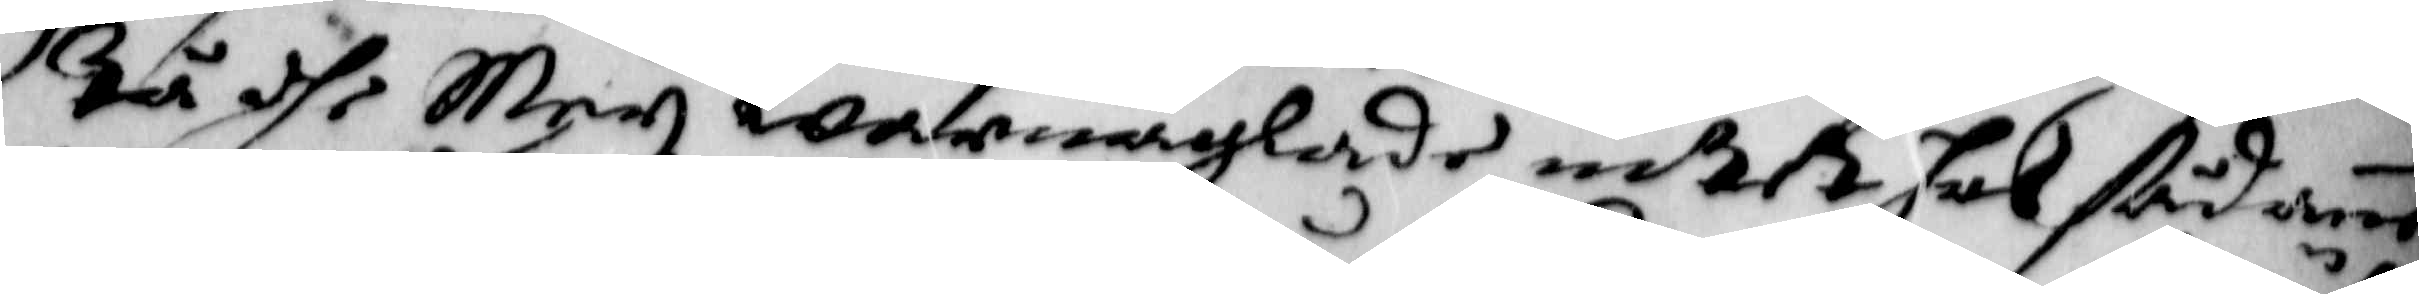Tå dhe Mey warnaglade intet hos sådanne
